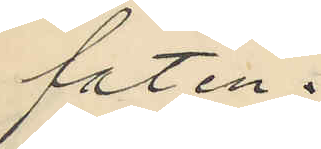faten.
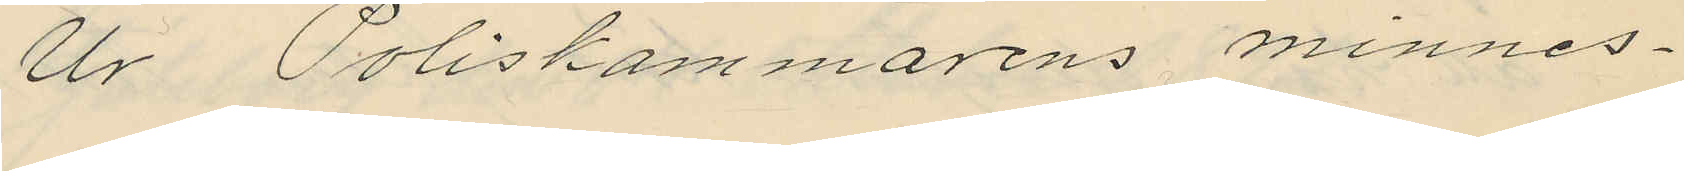Ur Poliskammarens minnes¬
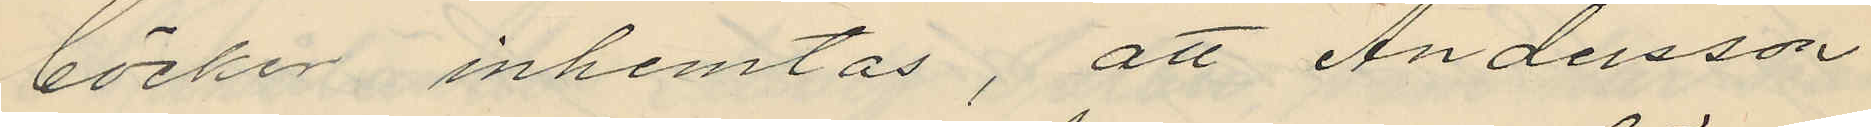böcker inhemtas, att Andersson
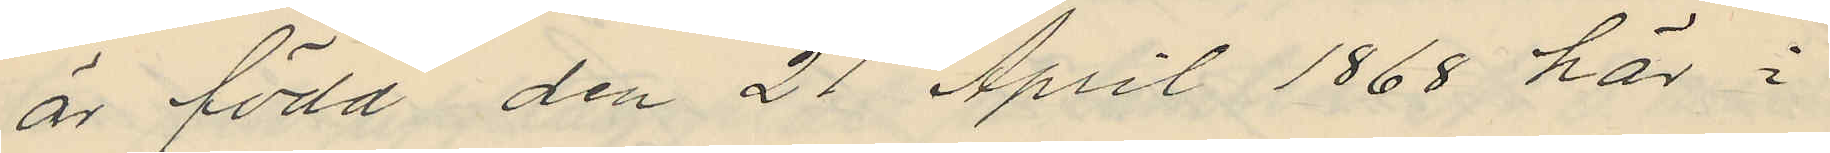är född den 21 April 1868 här i
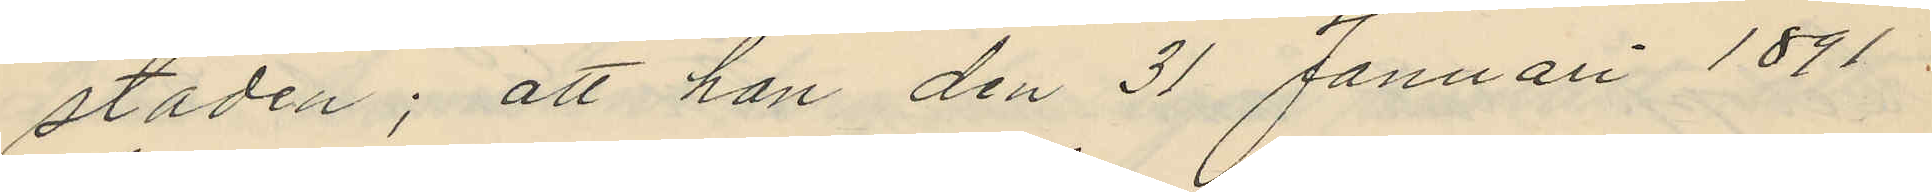staden; att han den 31 Januari 1891.
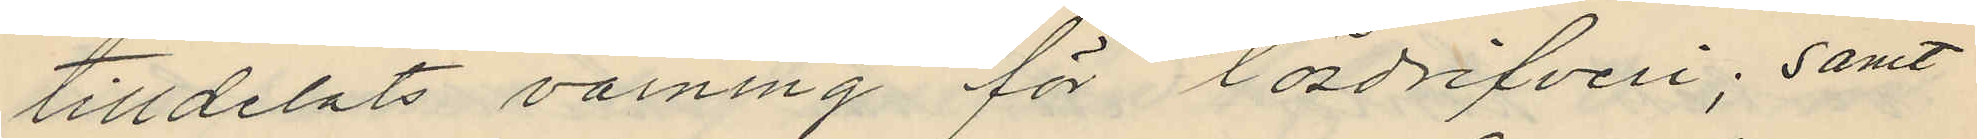tilldelats varning för lösdrifveri; samt
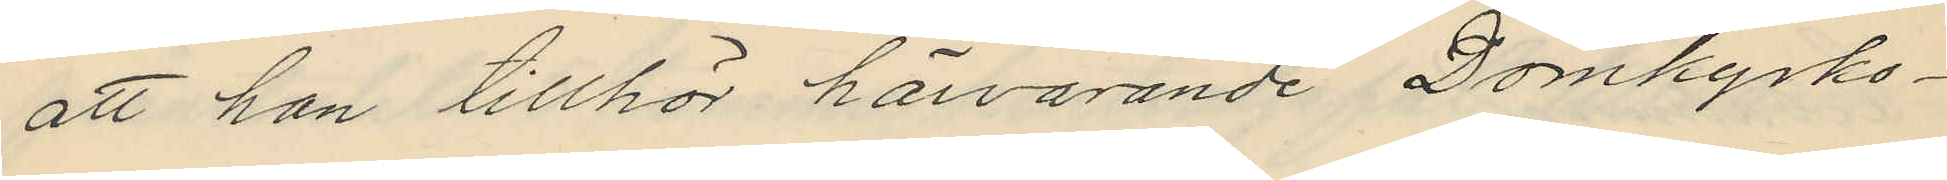att han tillhör härvarande Domkyrko¬
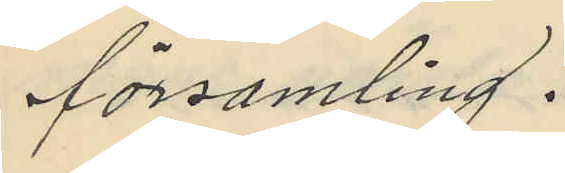församling.
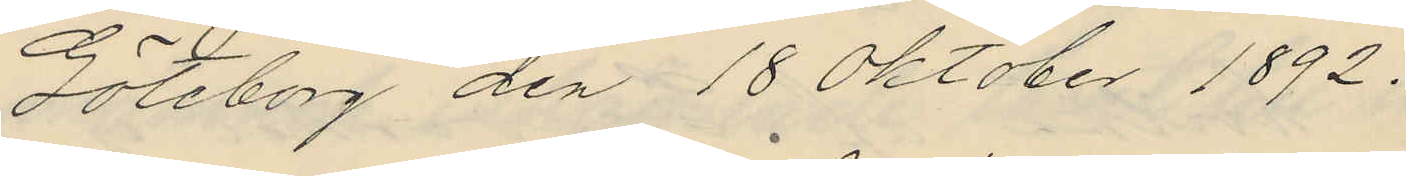Göteborg den 18 Oktober 1892.
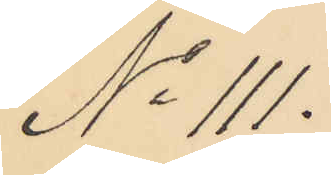No 111.
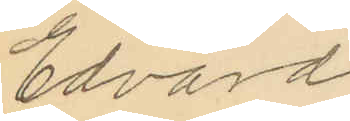Edvard
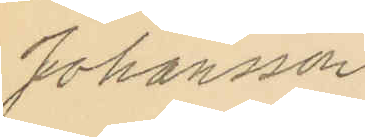Johansson
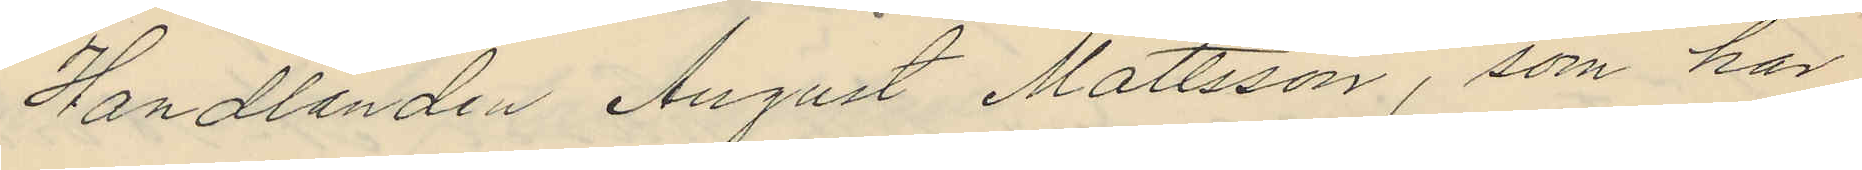Handlanden August Mattsson, som har
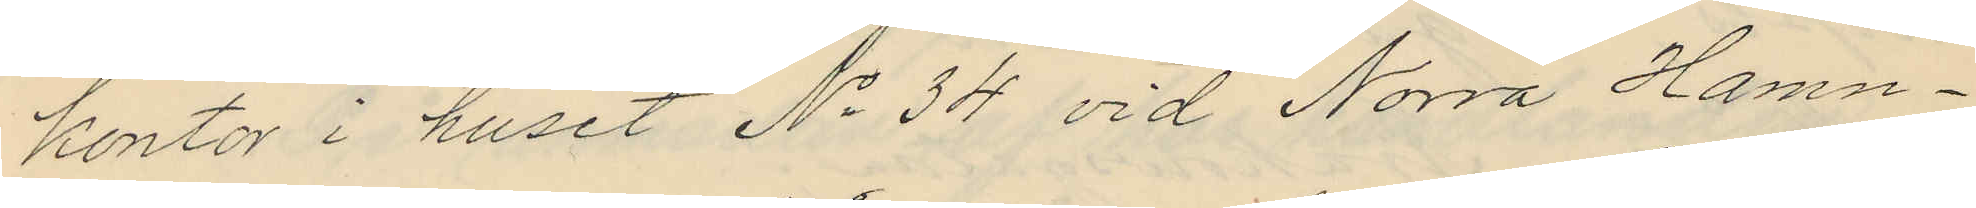kontor i huset No 34 vid Norra Hamn¬
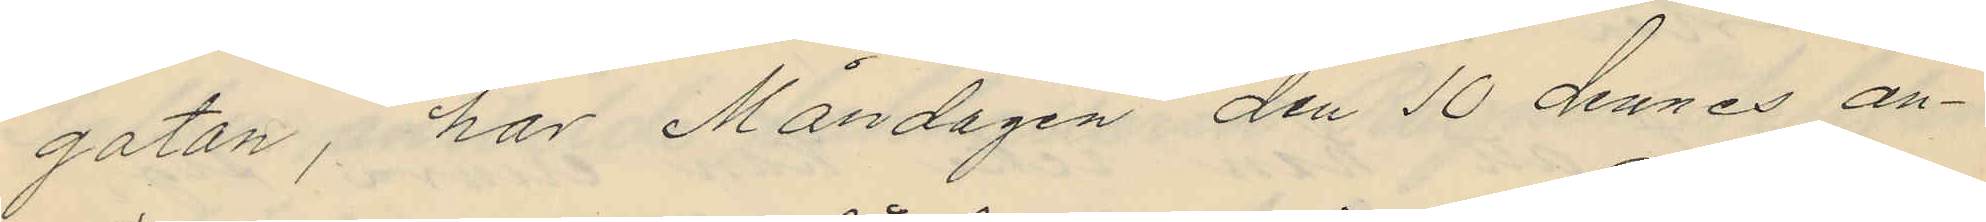gatan, har Måndagen den 10 dennes an¬
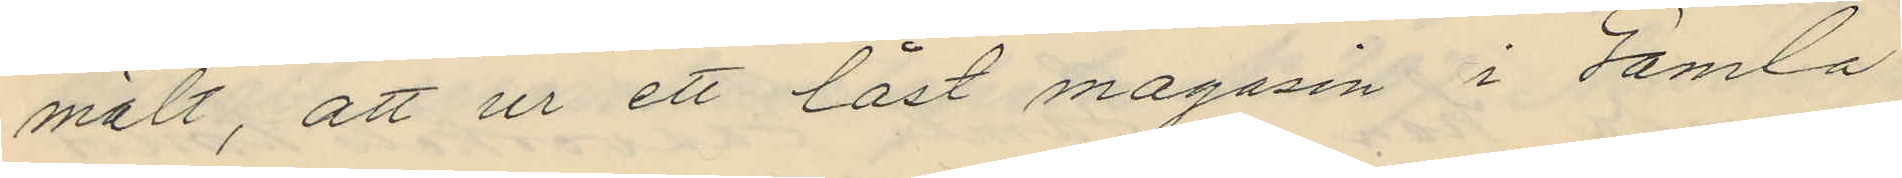mält, att ur ett låst magasin i Gamla
